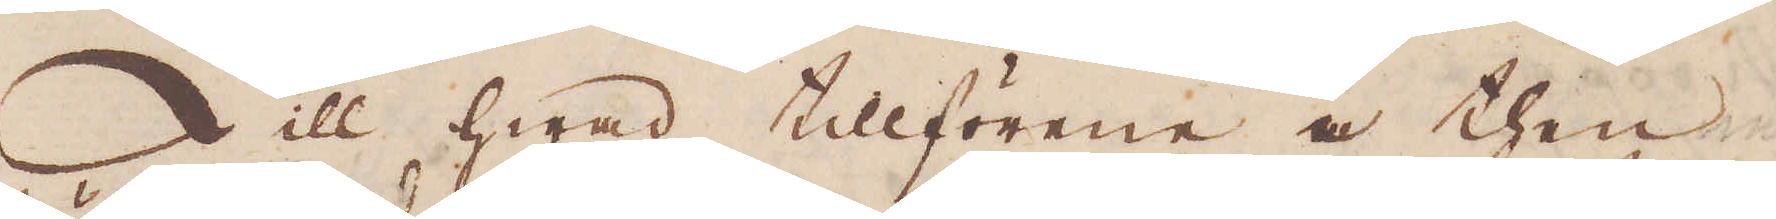Till hwad tillförene i then
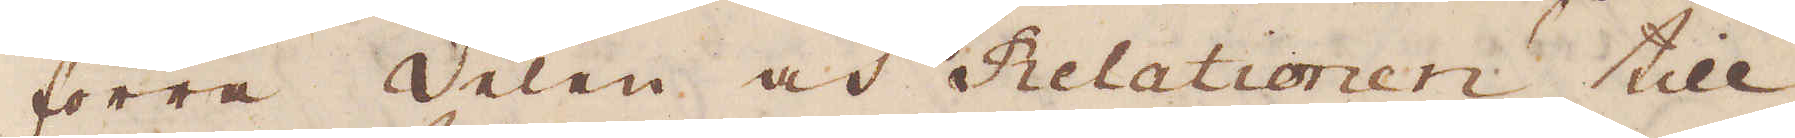förra delen av Relatiornen till
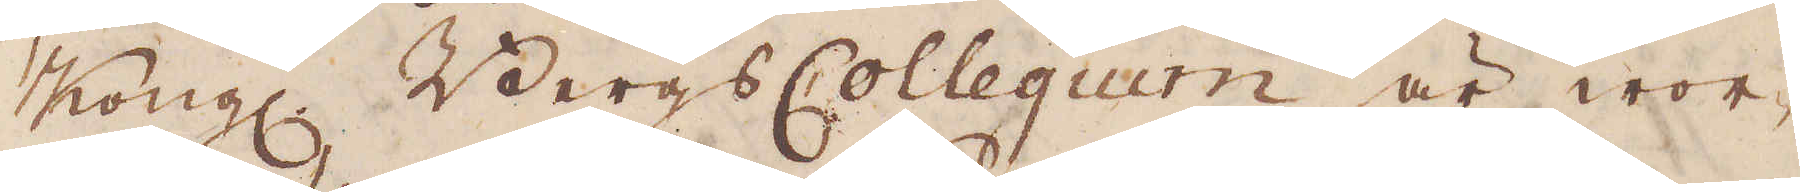Kongl. Bergs Collegium är wor-
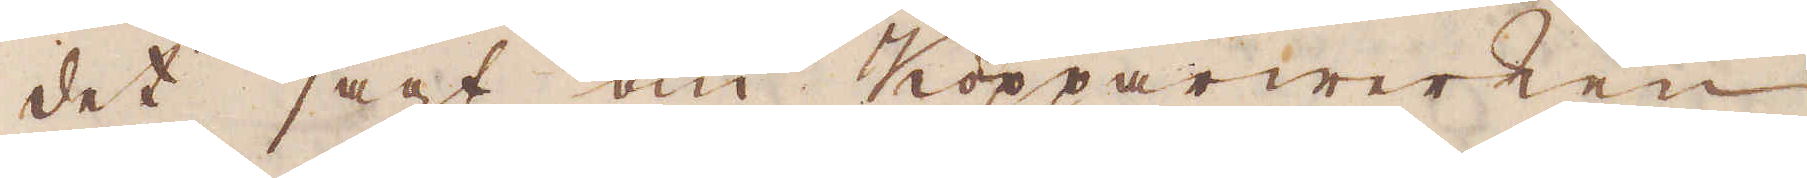det sagt om Kopparwärken
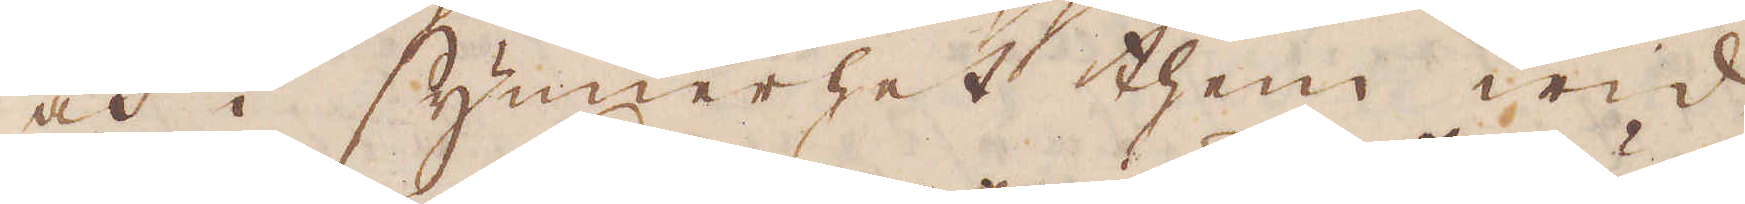och i synnerhet then wid
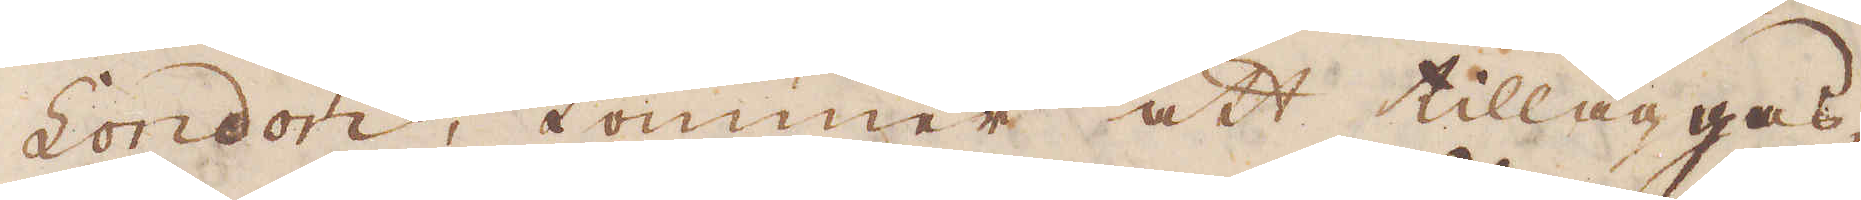London, kommer att tilläggas,
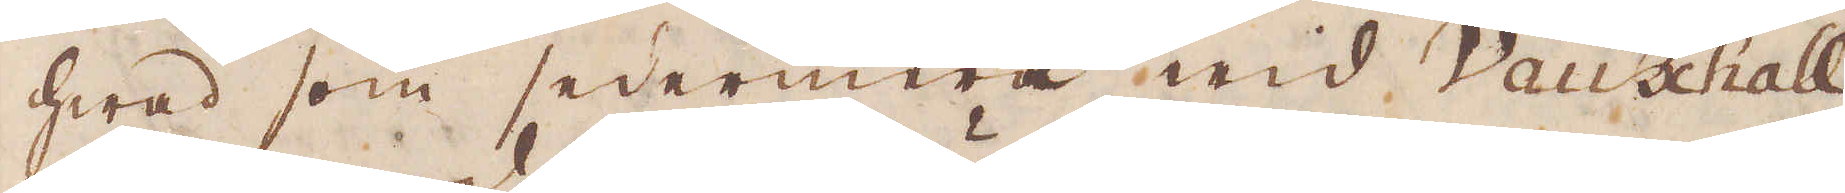hwad som sedermera wid Vauxhall
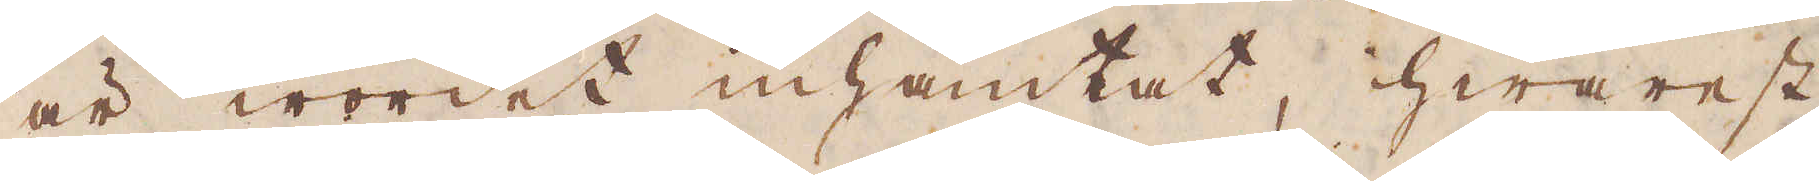är wordet inhämtat, hwarest
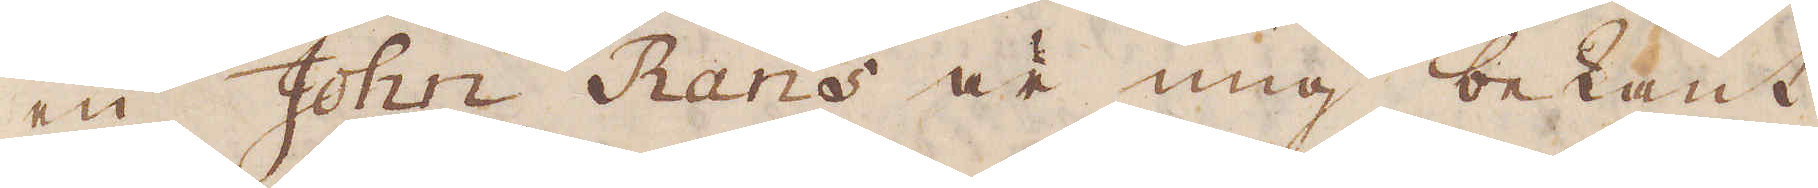en John Rans är mig bekant
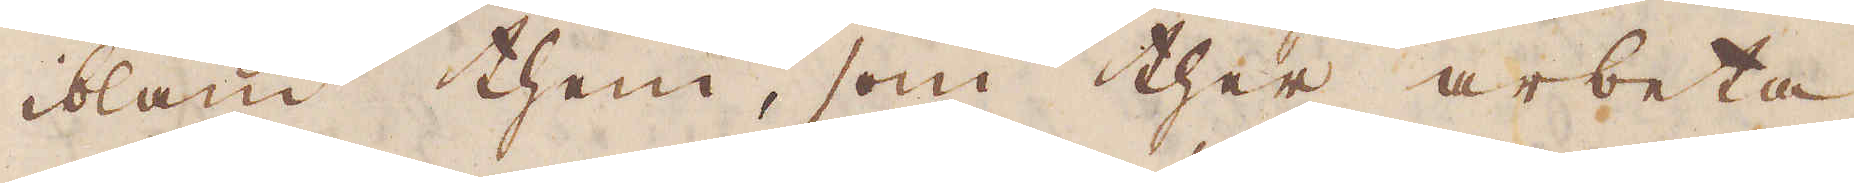ibland them, som ther arbeta.
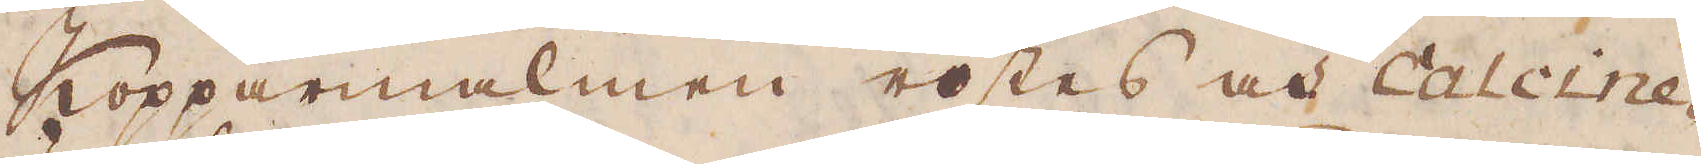Kopparmalmen rostes och Calcine-
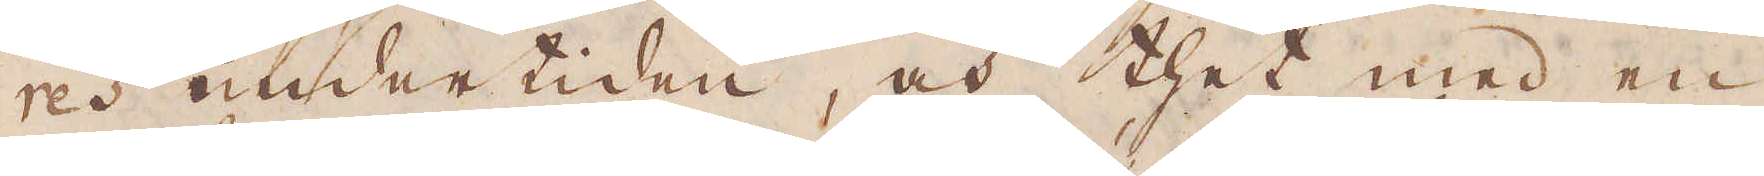res under tiden, och thet med en
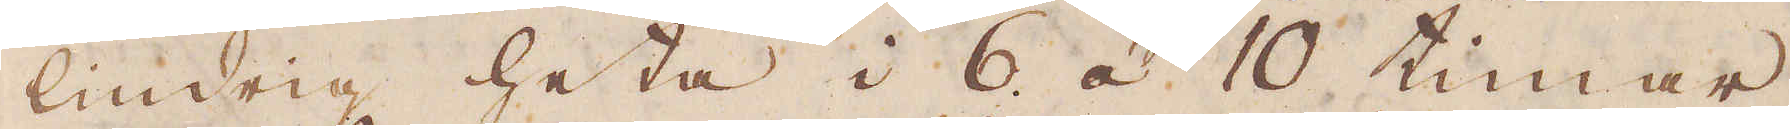lindrig hetta i 6 à 10 timmar,
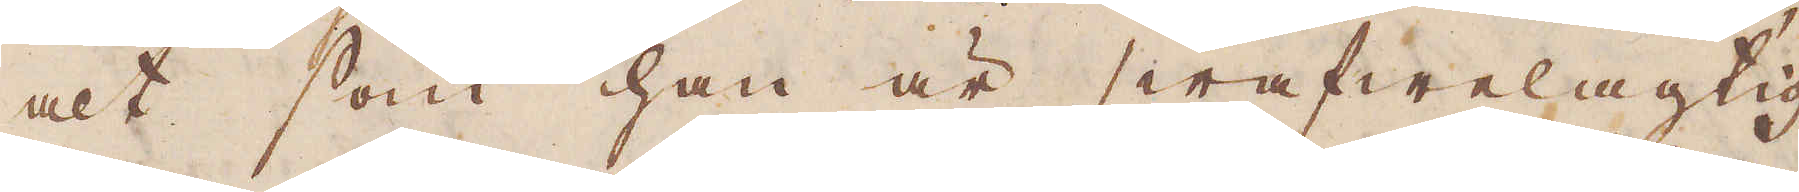alt som han är swafwelagtig
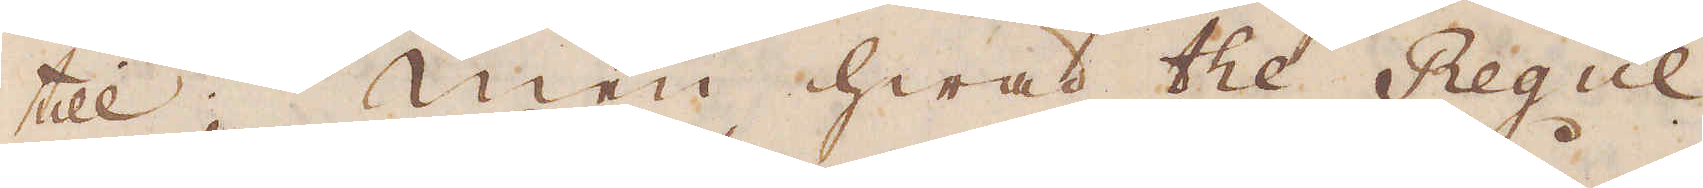till; Men hwad the Reglul
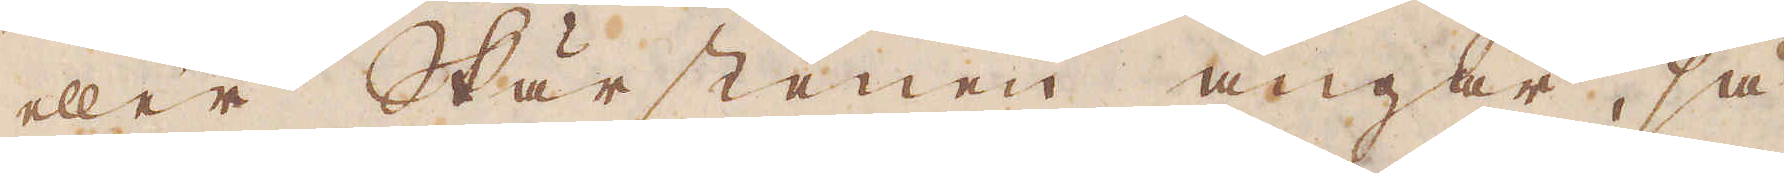eller Skärstenen angår, så
